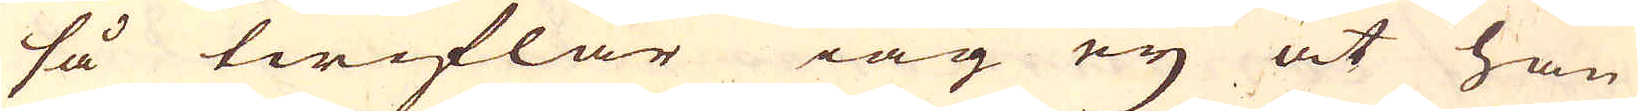så twiflar iag ey at han
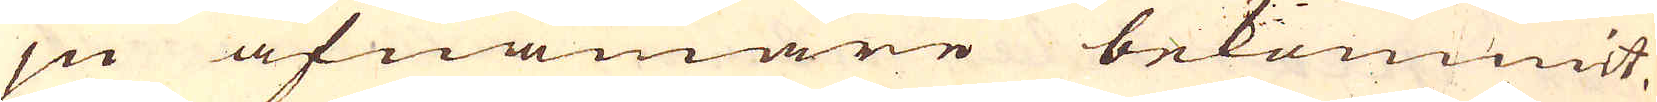ju afnämare bekommit,
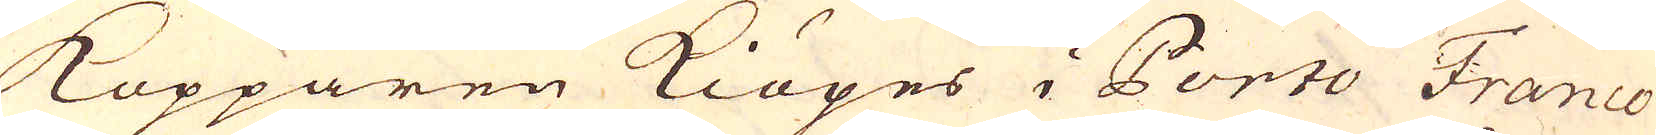Kopparen kiöpes i Ponto Franco
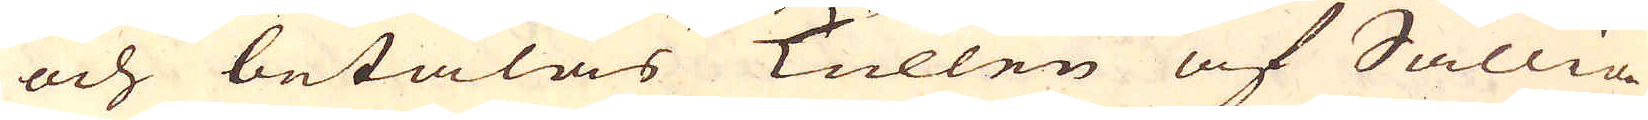och betalas Tullen af Sällia-
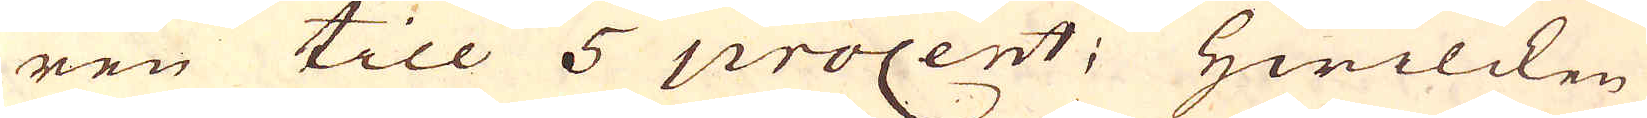ren till 5 procent; Hwilcken
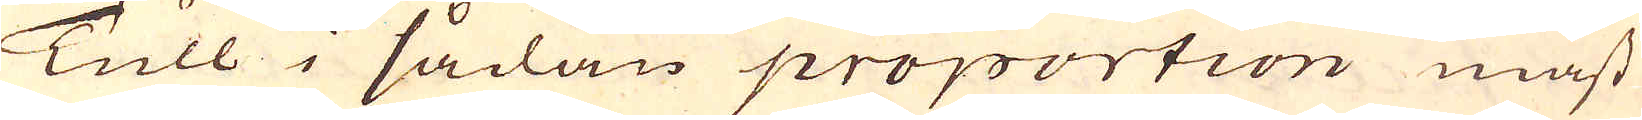Tull i sådan proportion mäst
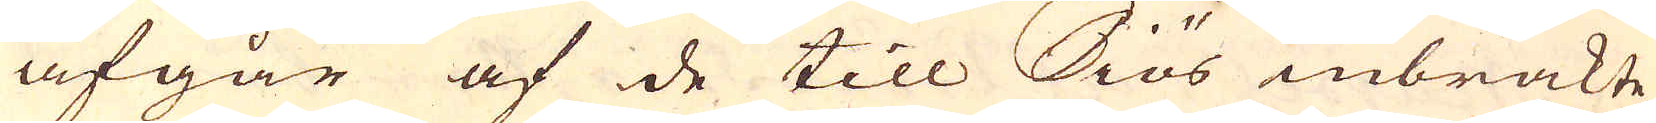afgår af de till Siös inbrakte
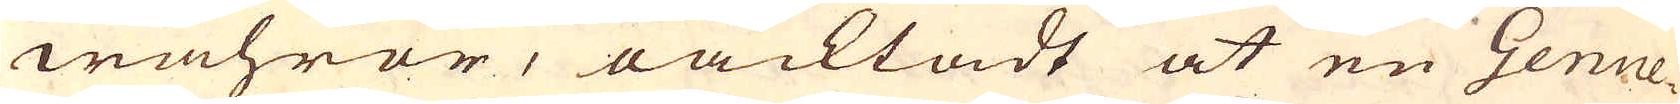wahror, oacktadt at en Genue-
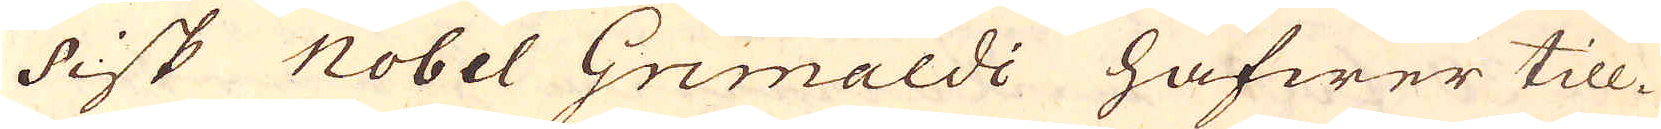sisk Nobel Grimaldi hafwer till-
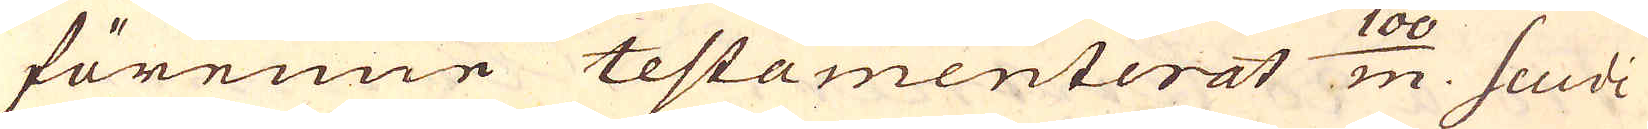förenne testamenterat 100/m. Scudi
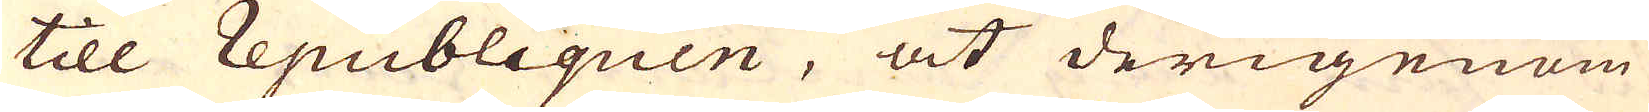till republiquen, at derigenom
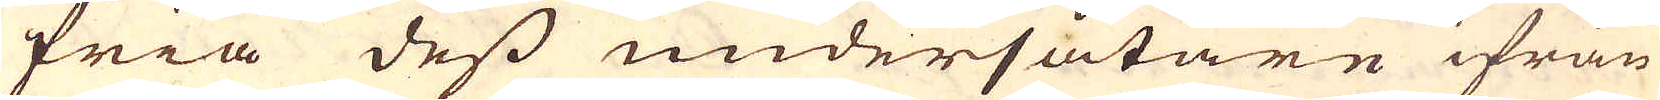fria dess undersåtare ifrån
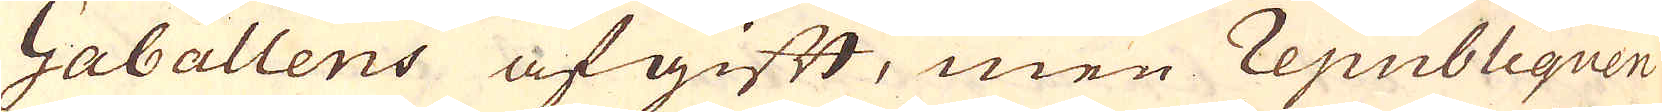Gaballens afgift, men republiquen
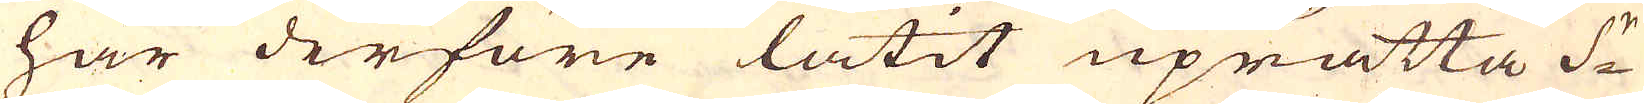har derföre låtit uprätta S:r
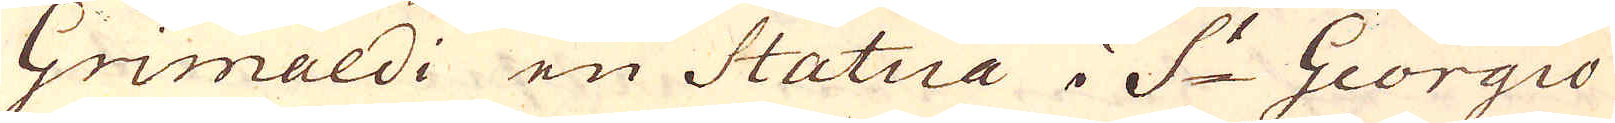Grimaldi en Statua i S:t Giorgio
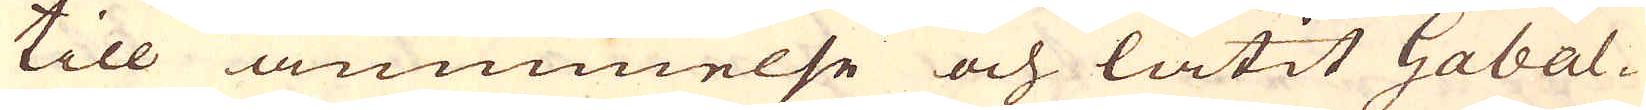till åminnelse och låtit Gabal-
